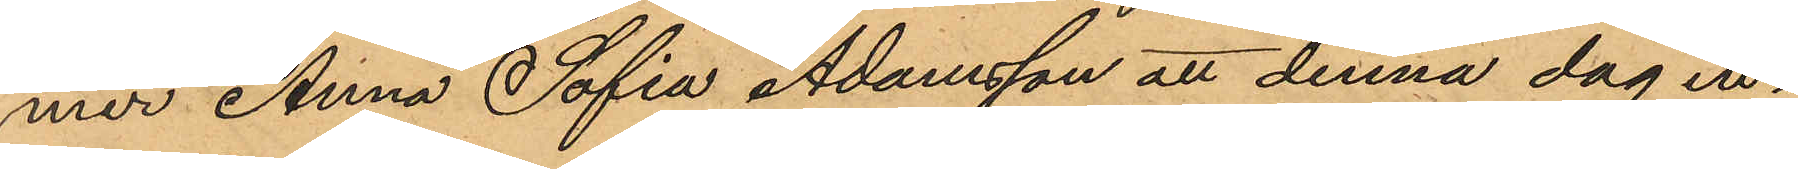mer Anna Sofia Adamsson att denna dag in¬
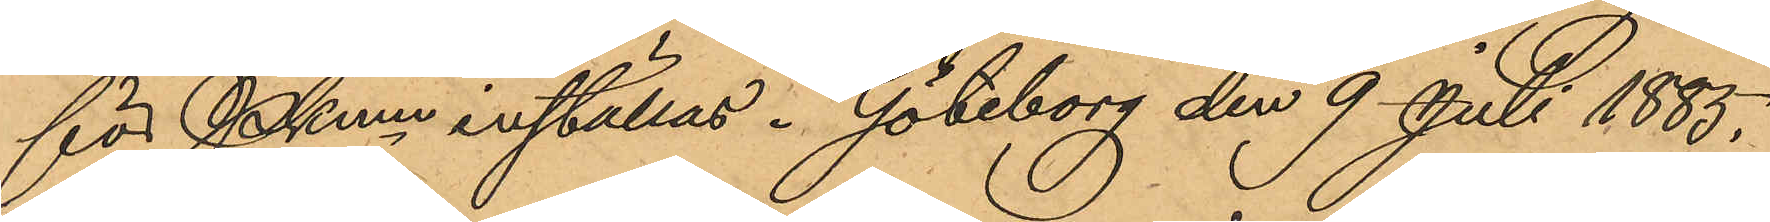för PKmn inställas. Göteborg den 9 Juli 1883.
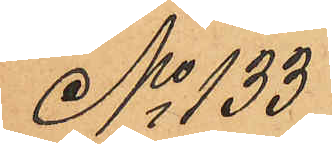No 133
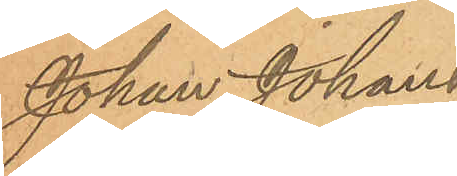Johan Johans¬
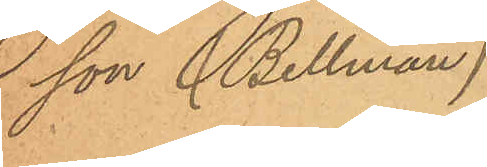son (Bellman)
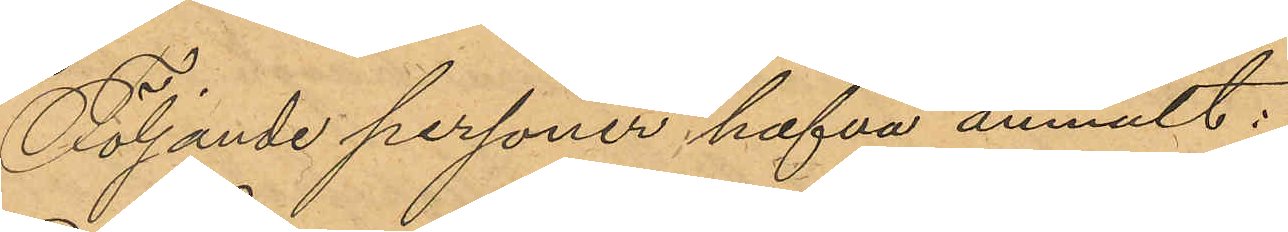Följande personer hafva anmält:
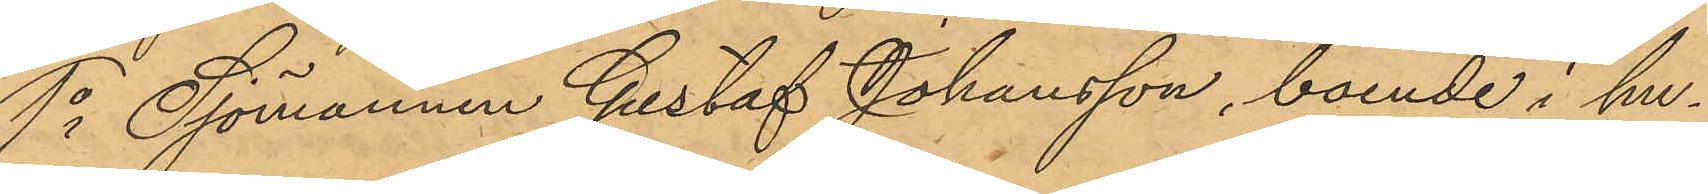1o Sjömannen Gustaf Johansson, boende i hu¬
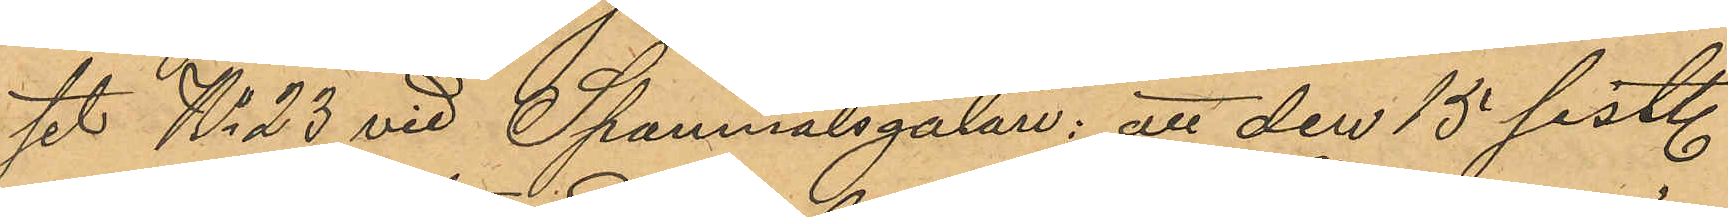set No 23 vid Spannmålsgatan: att den 15 sist.
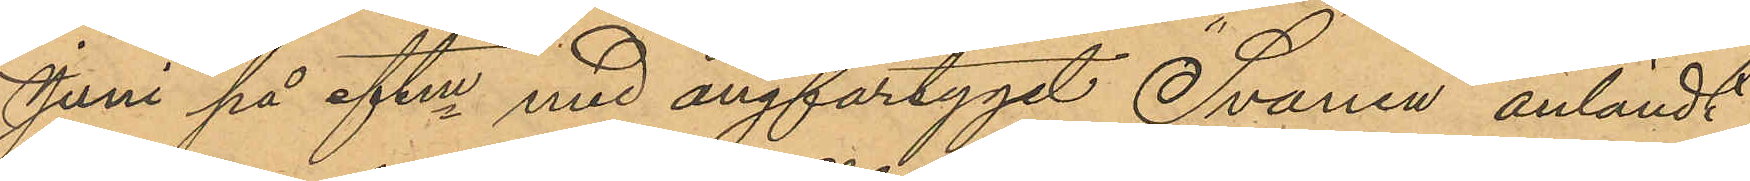Juni på eftm med ångfartyget Svanen anländt
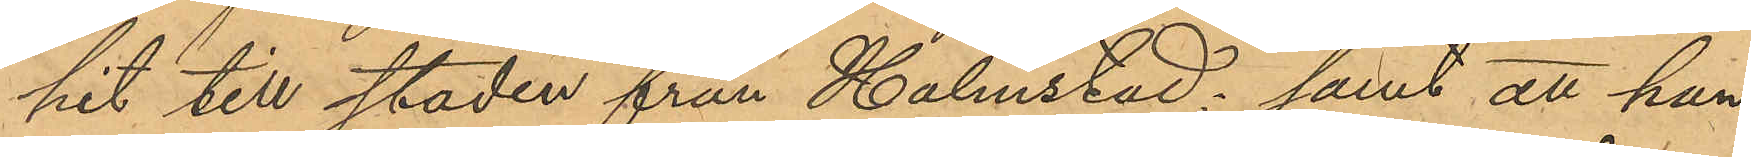hit till staden från Halmstad; samt att han,
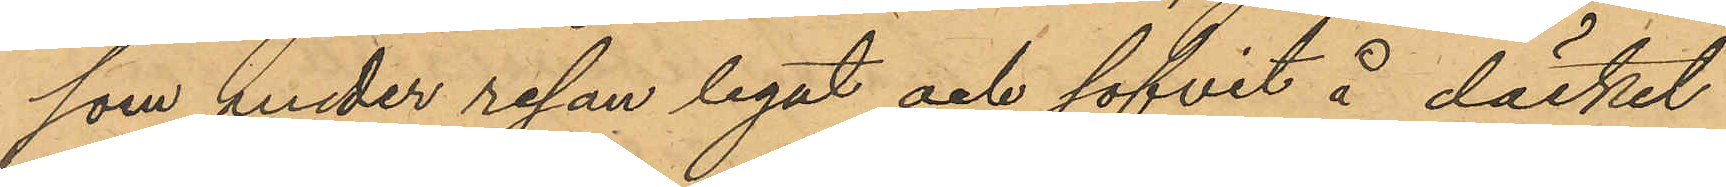som under resan legat och sofvit å däcket
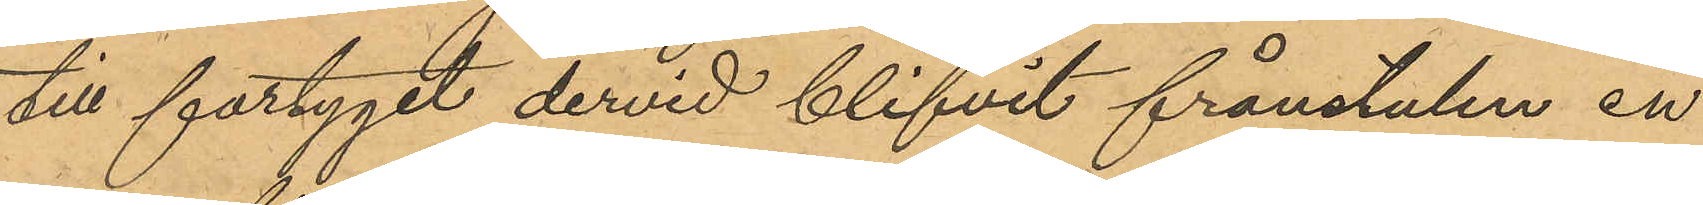till fartyget dervid blifvit frånstulen en
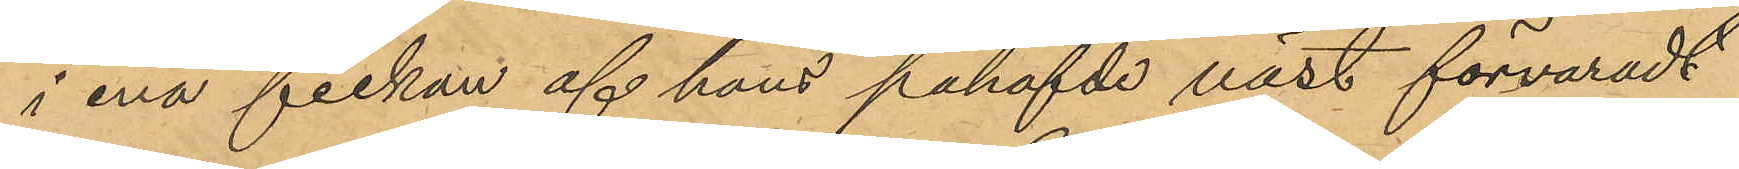i ena fickan af hans påhafvde väst förvaradt
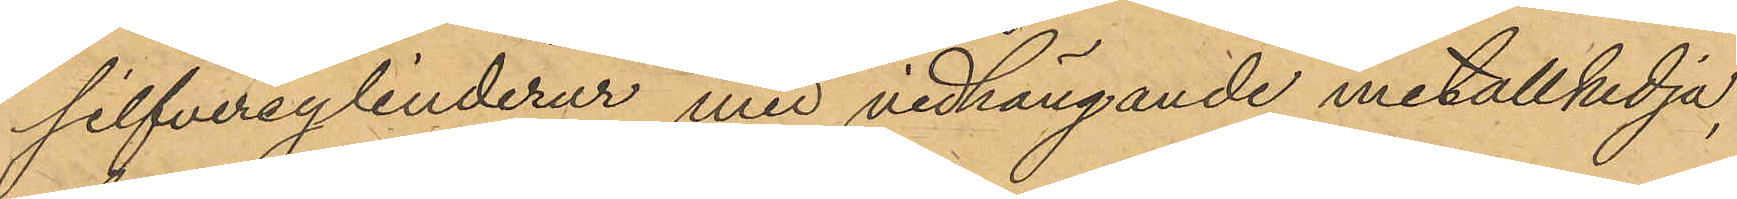silfvercylinderur med vidhängande metallkedja,
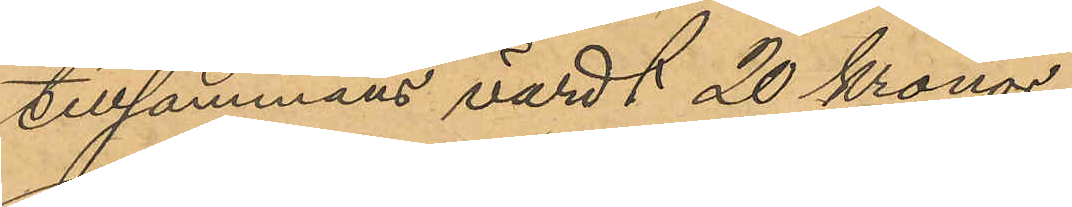tillsammans värdt 20 Kronor
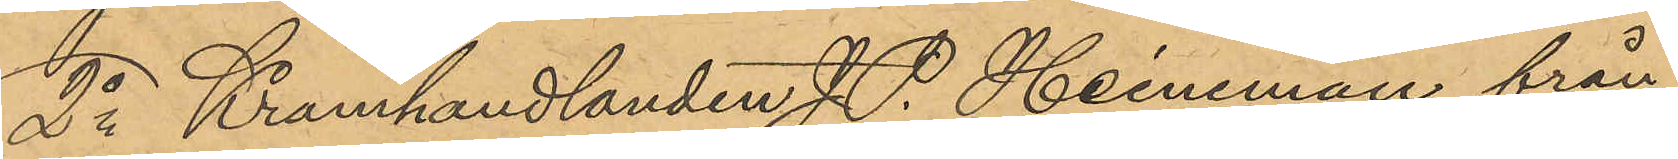2o Kramhandlanden J. P. Heineman från
